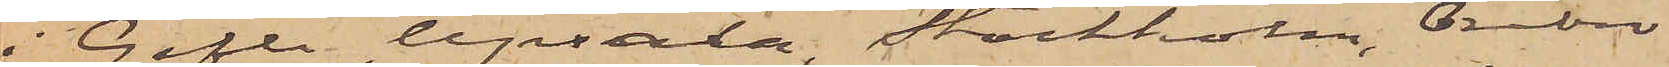i Gefle, Upsala, Stockholm, Örebro
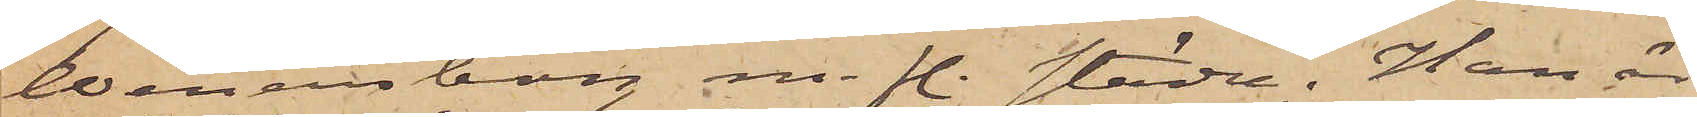Wenersborg m. fl. städer. Han är
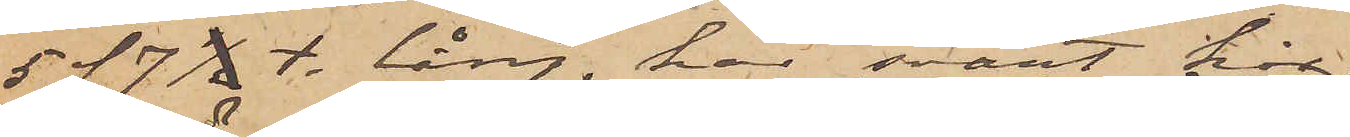5 f  7 1/2 t lång, har svart hår
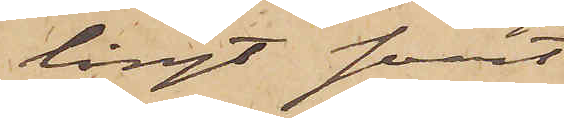långt svart
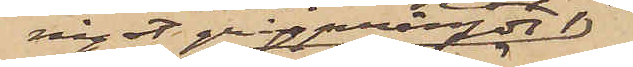något gråsprängdt
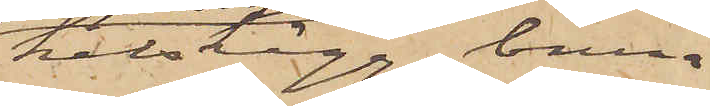helskägg, bruna
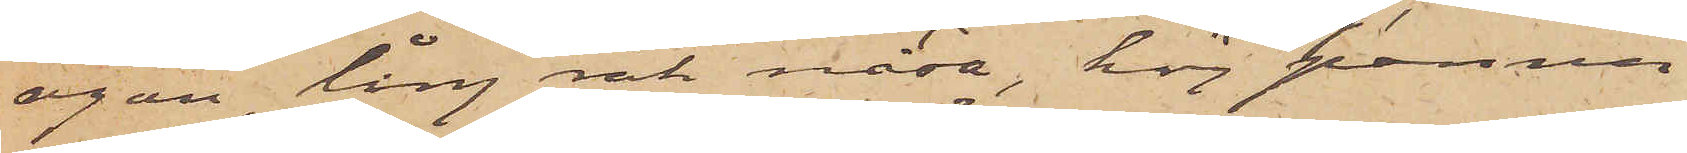ögon, lång rak näsa, hög panna
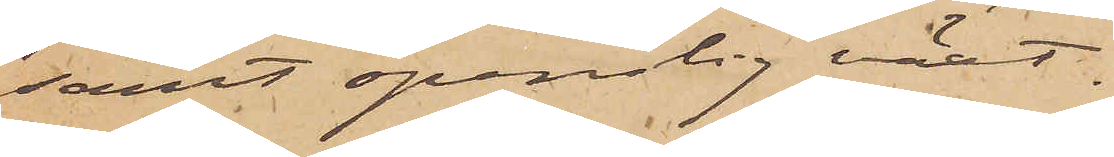samt spenslig växt.
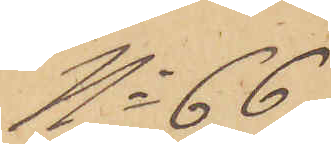No 66
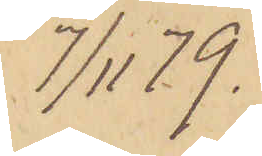7/11 79.
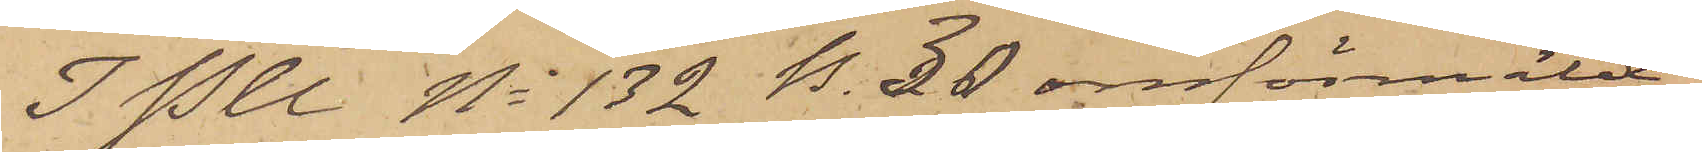I P U No 132 B. 30 omförmälde
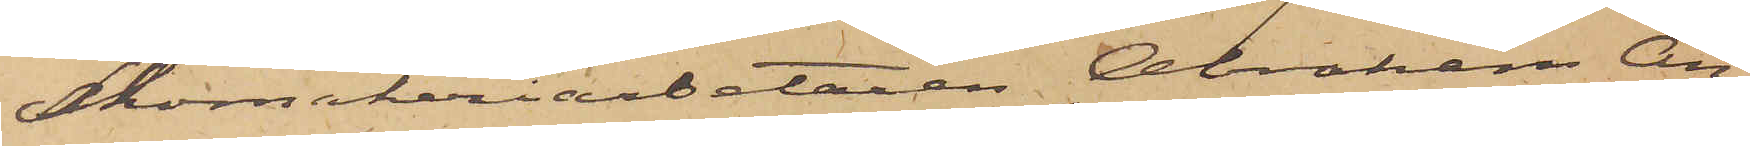Skomakeriarbetaren Abraham An¬
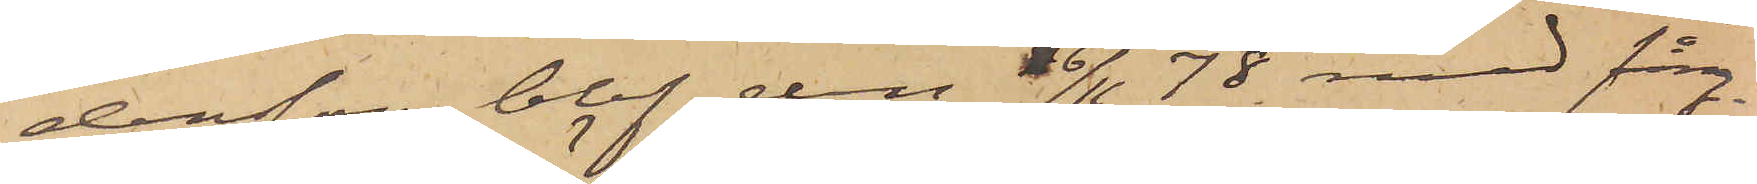dersson blef den 16/11 78 med fång¬
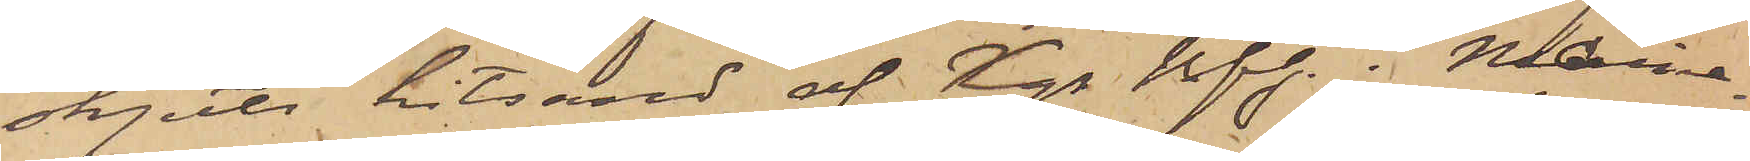skjuts hitsänd af Kgs Bfh. i Marie¬
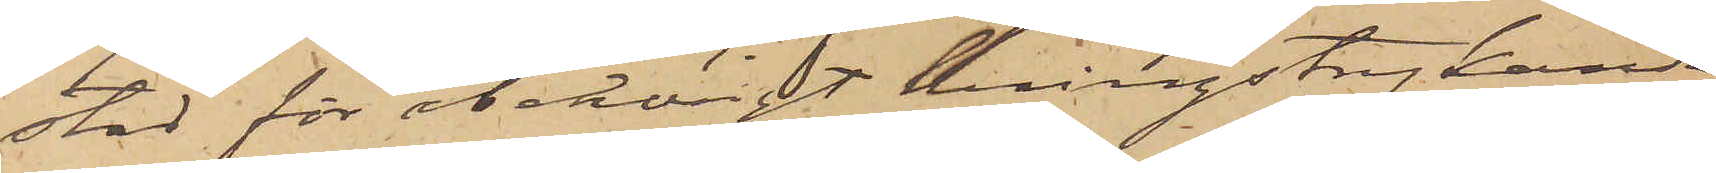stad för obehörigt kringstrykande.
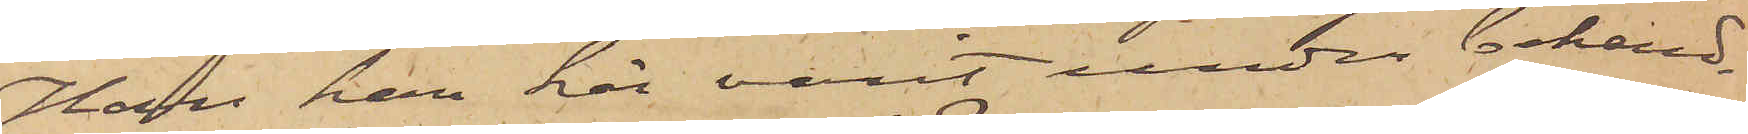Han har här varit under behand¬
